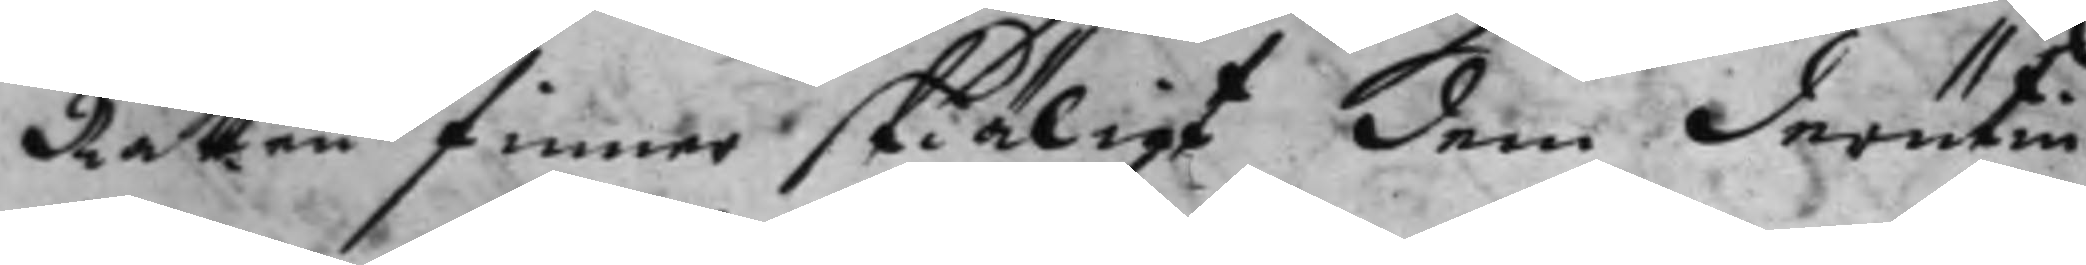Rätten finner skiäligt dem derutin¬
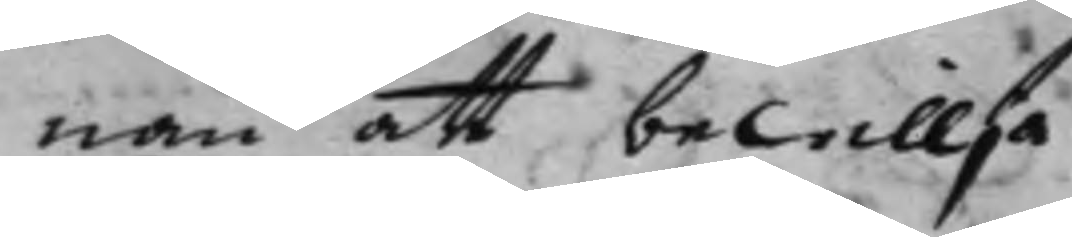nan att bewillja.
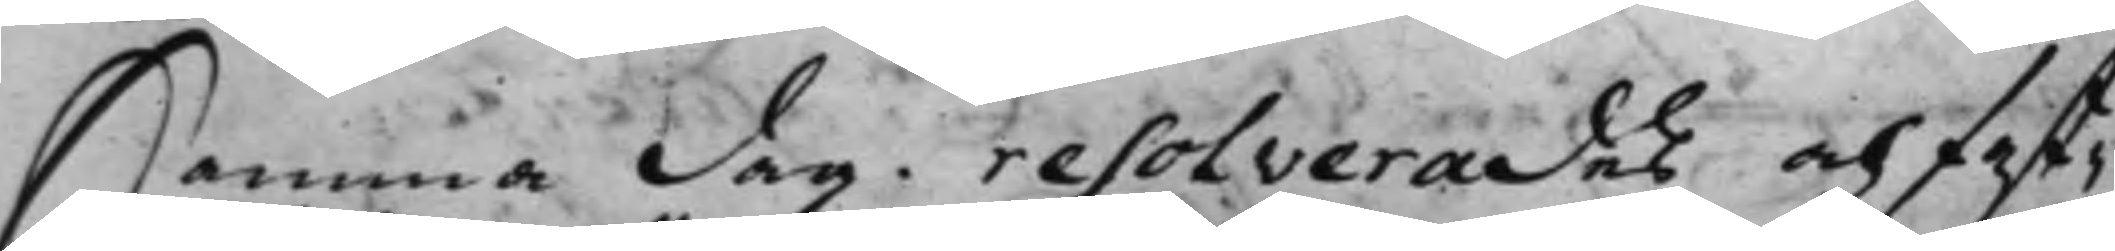Samma dag. resolverades och fast¬
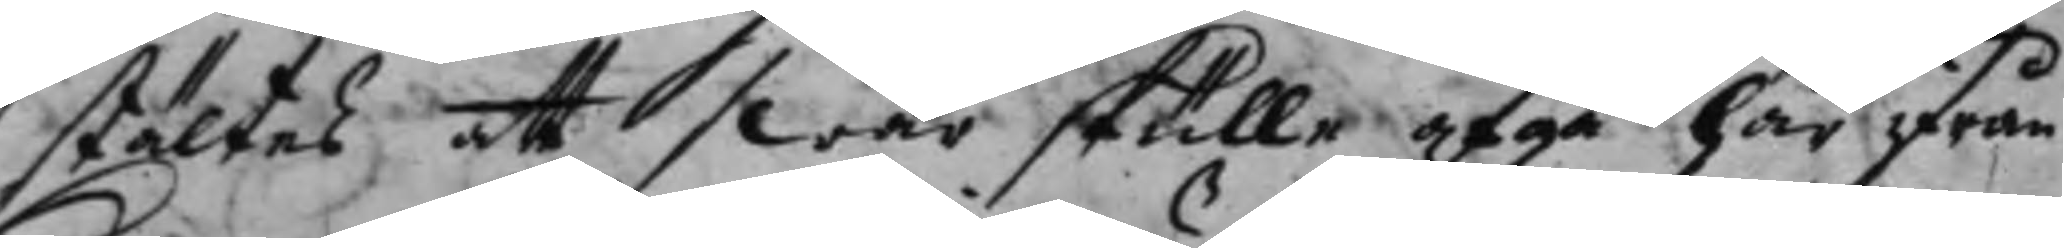stältes att swar skulle afgå här ifrån
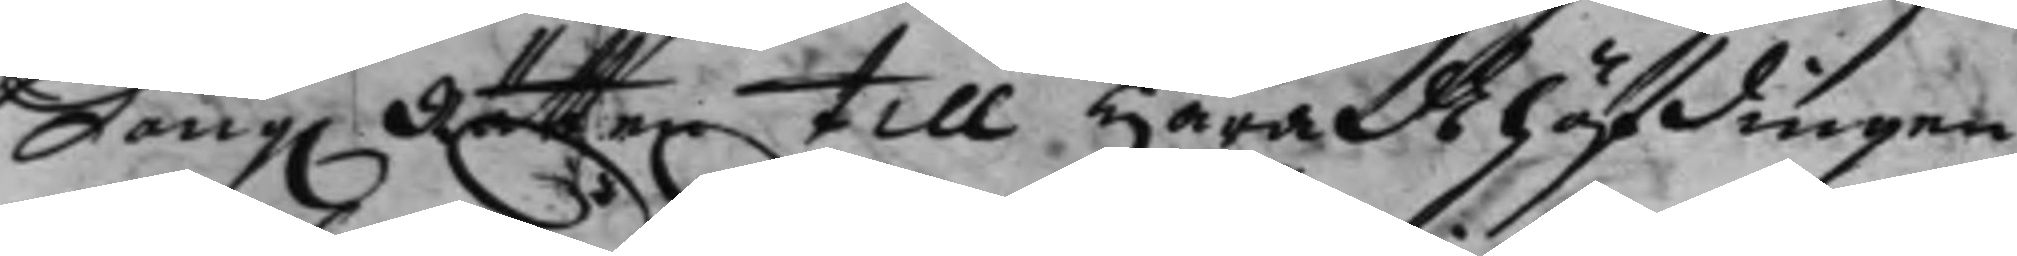Kong. Rätten till Häradshöfdingen 
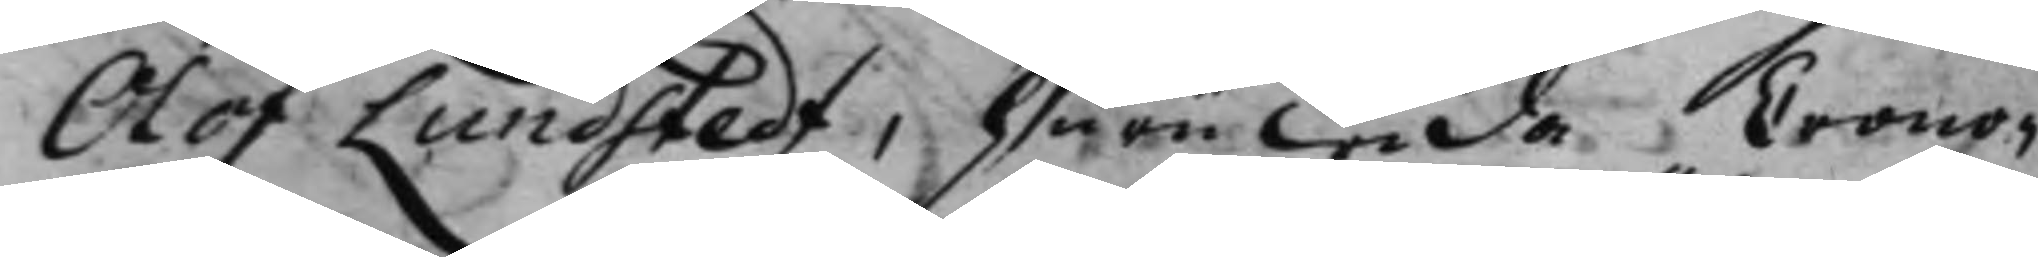Olof Lundstedt, huruwida Crono¬ 
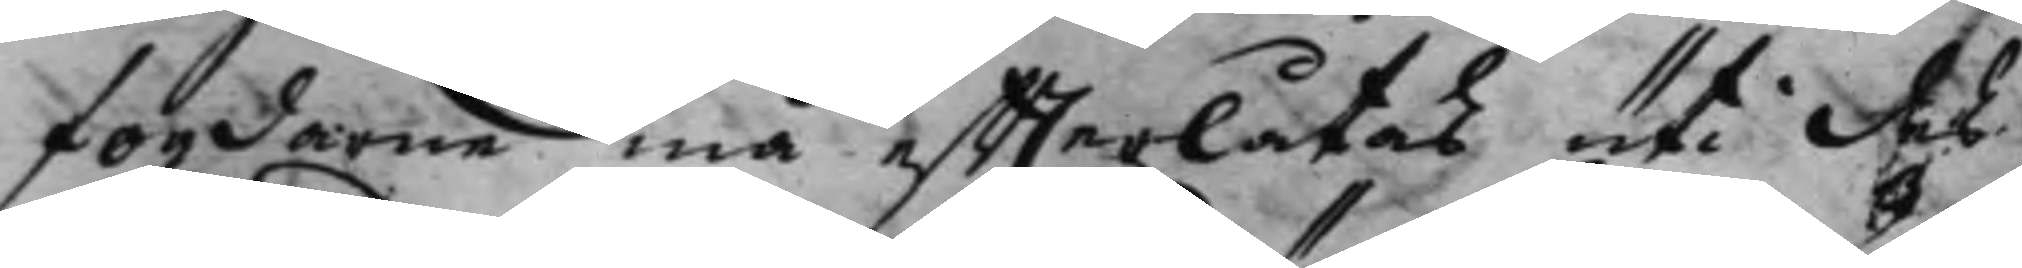fogdarne må effterlåtas uti des
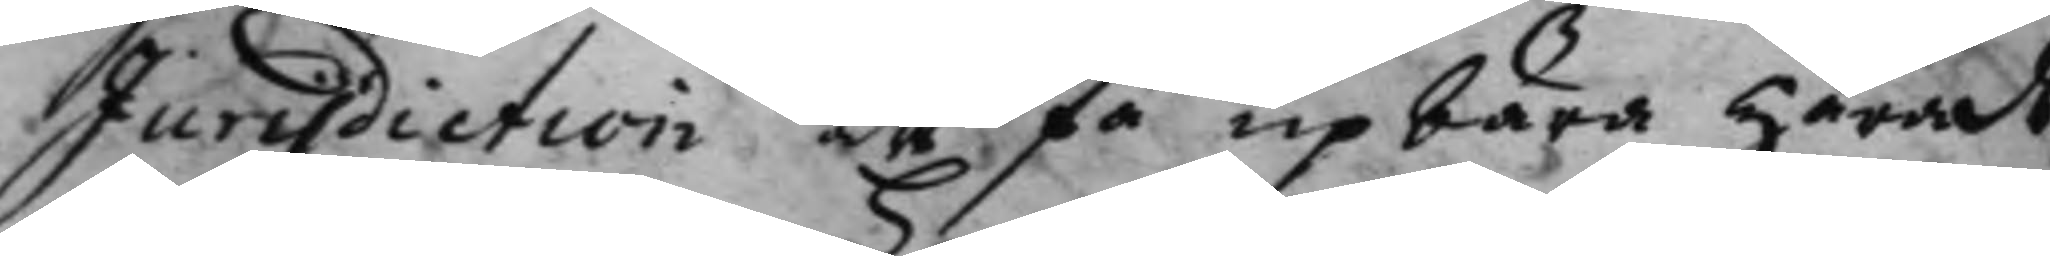Jurisdiction att få upbära härads¬
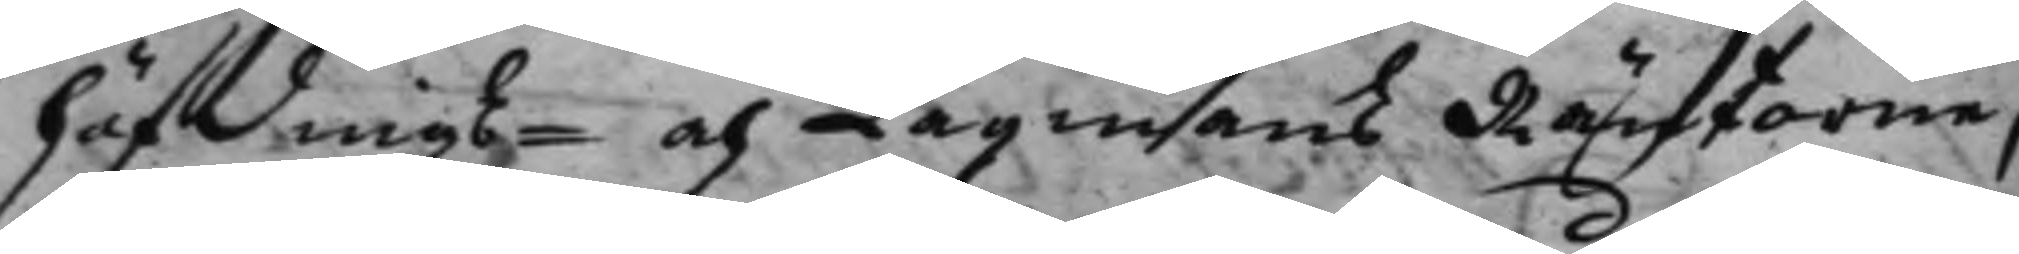höfdings- och Lagmans Räntorne,
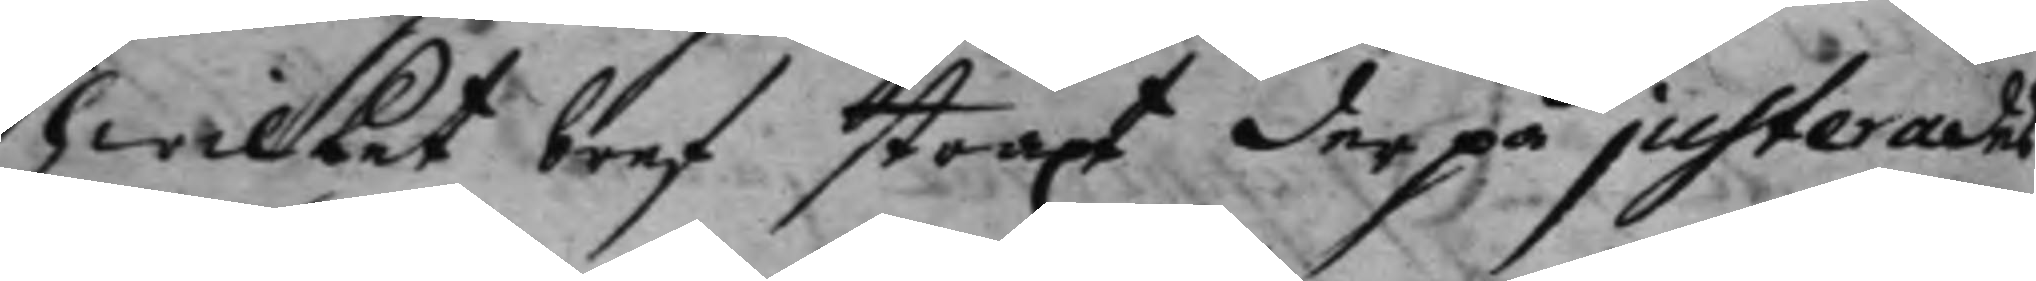hwilket bref straxt derpå justerades.
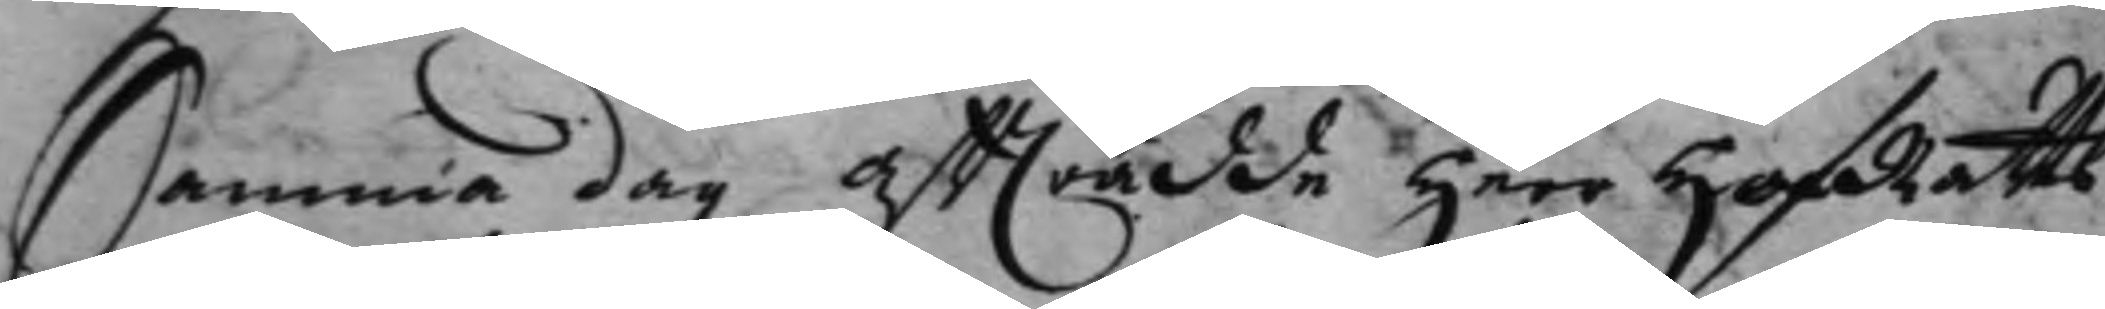Samma dag afträdde Herr HofRätts¬
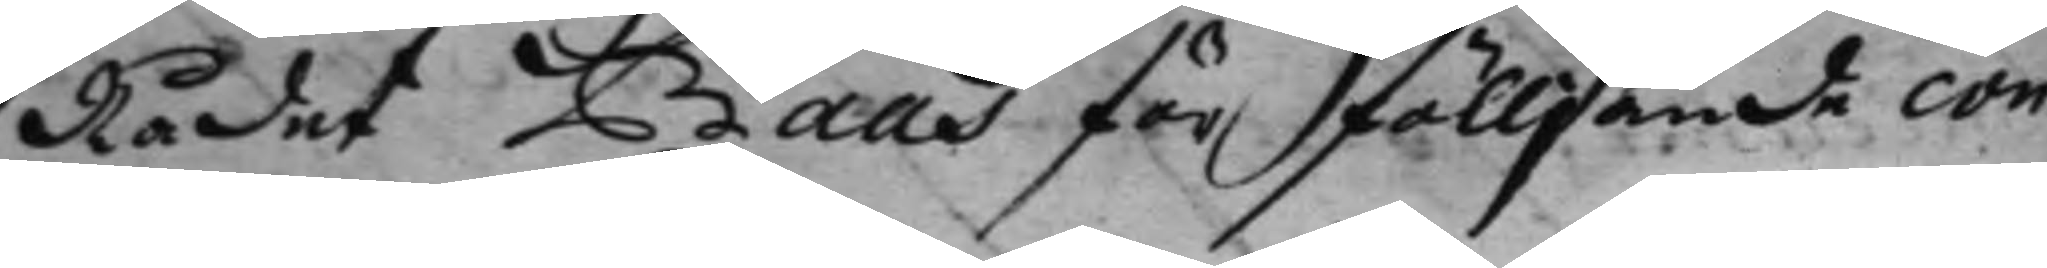Rådet Baas för fölljande con¬
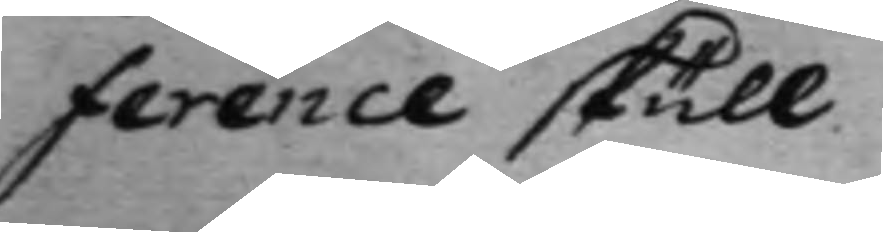ference skull.
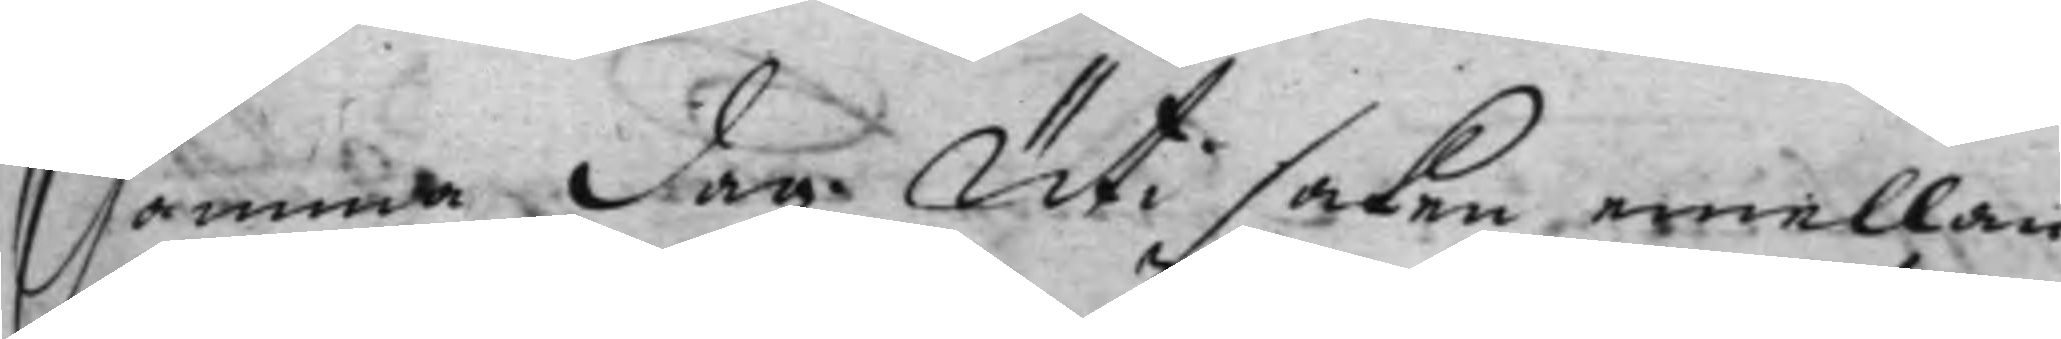Samma dag. Uti saken emellan
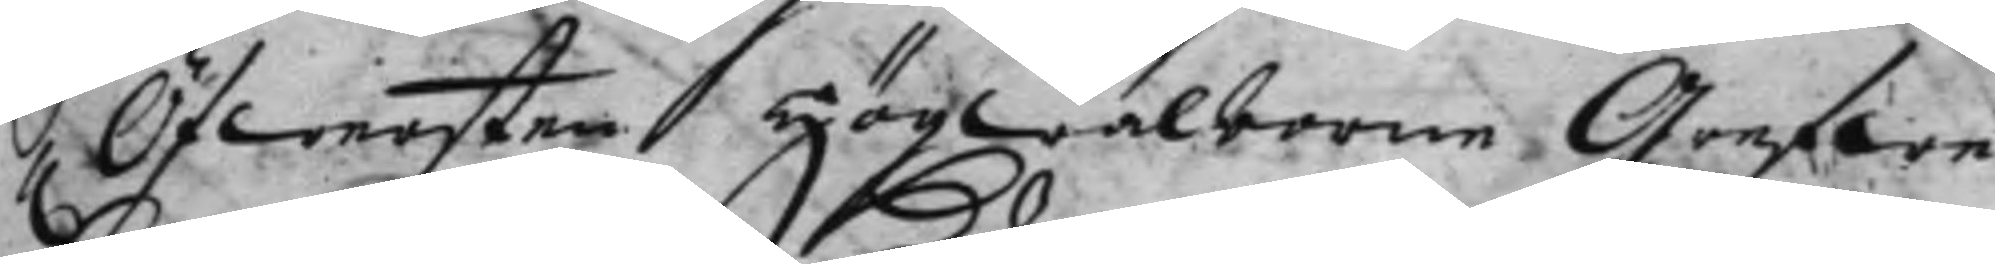h. Öfwersten Högwälborne Grefwe 
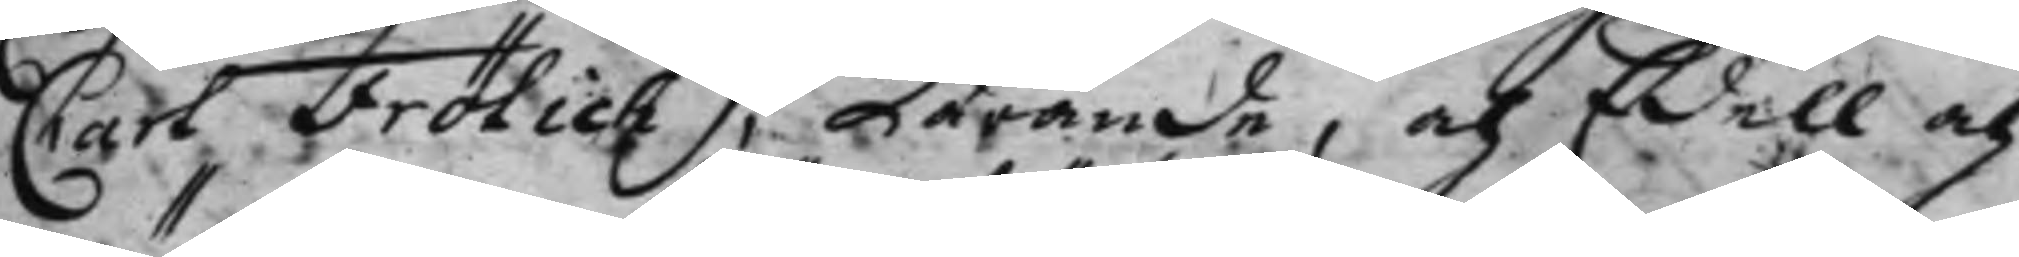Carl Frölich, kärande, och Edell och 
